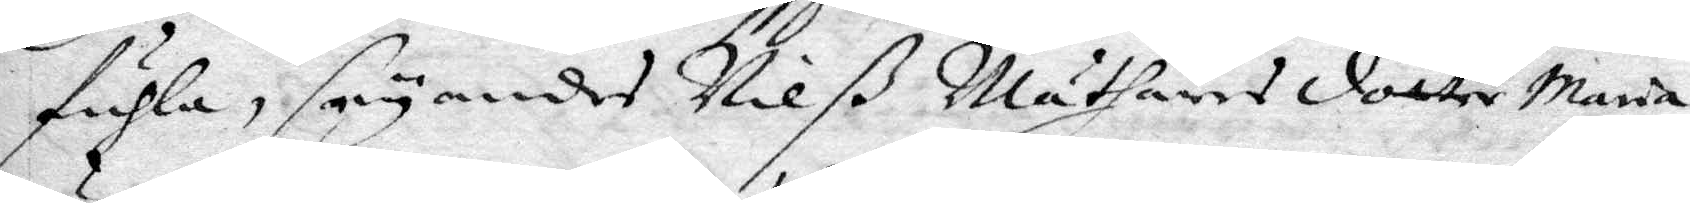fuhla, seyandes Nilß Mäthares dotter Maria
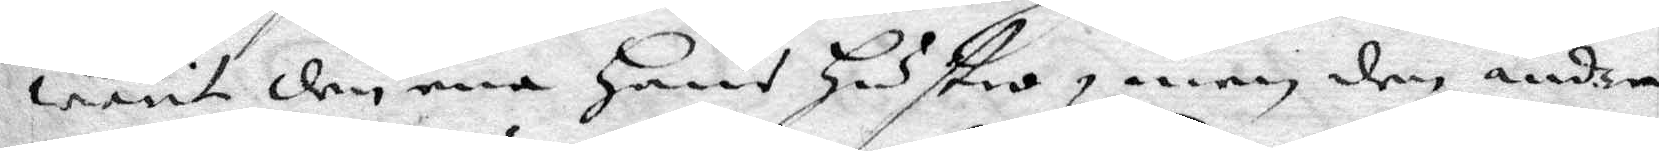warit den ena Hans hustro, men den andra
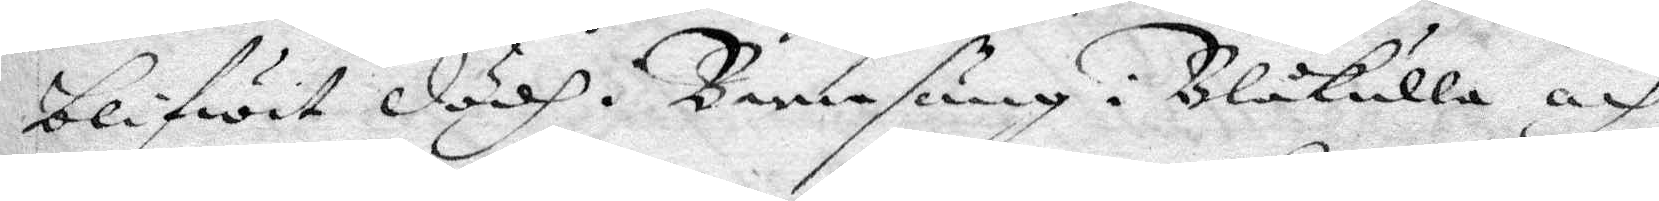blifwit dödh i Barnsäng i Blåkulla och
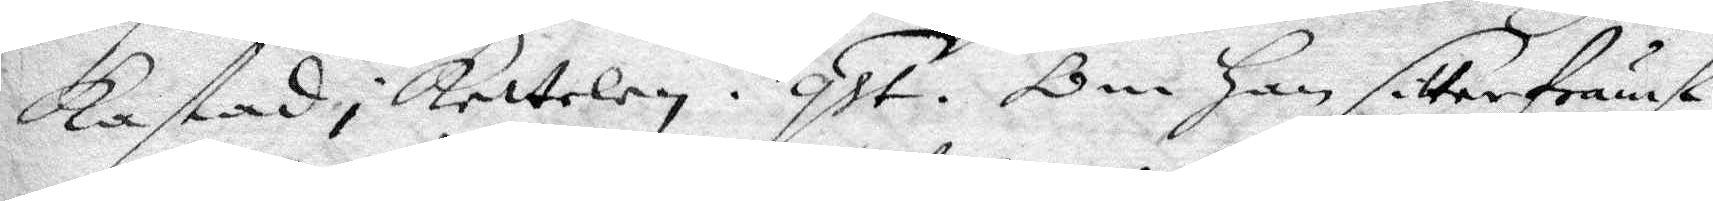Kastad i Kettelen. qst. Om Han sitter främst
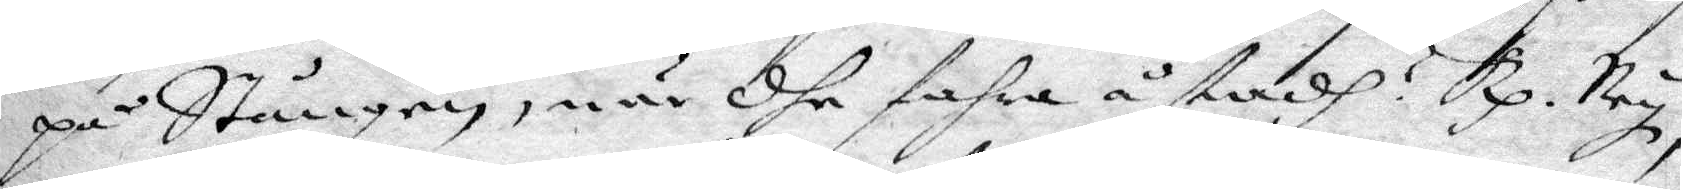på Stången, när dhe fahra åstadh? Rp. Ney,
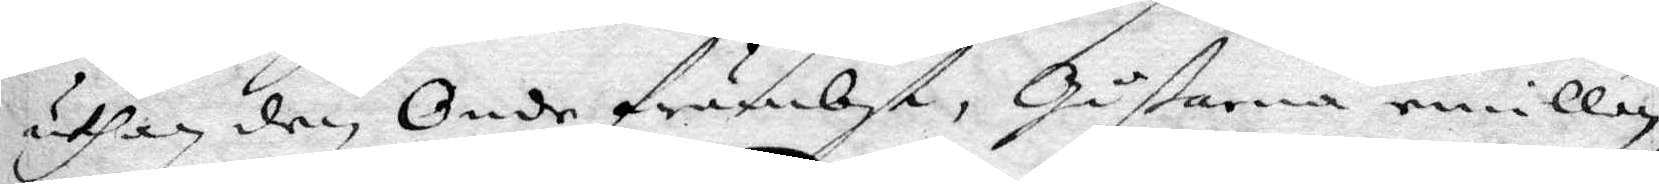uthan den Onde främbst, Gåßarna emillan
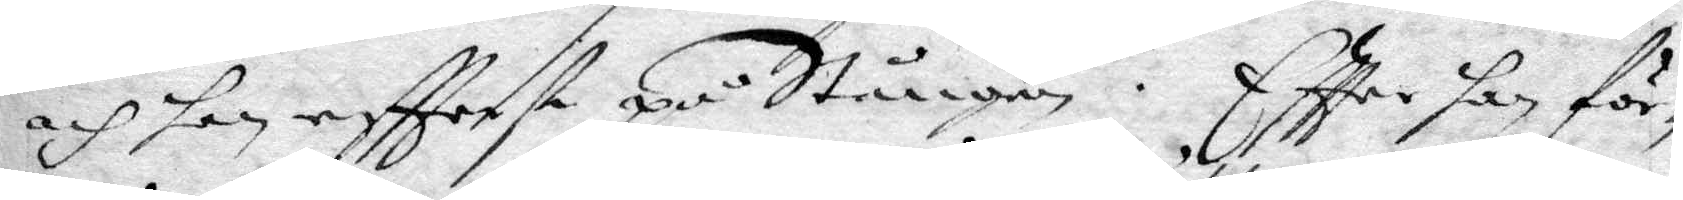och han eftterst på Stången. Eftter han för¬
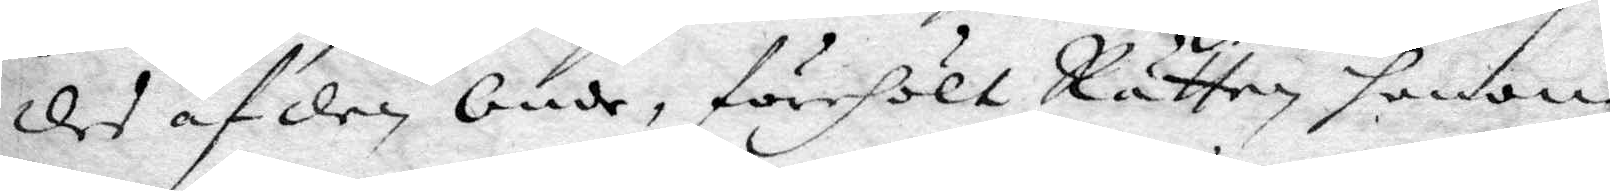des af den Onde, förehölt Rätten honom
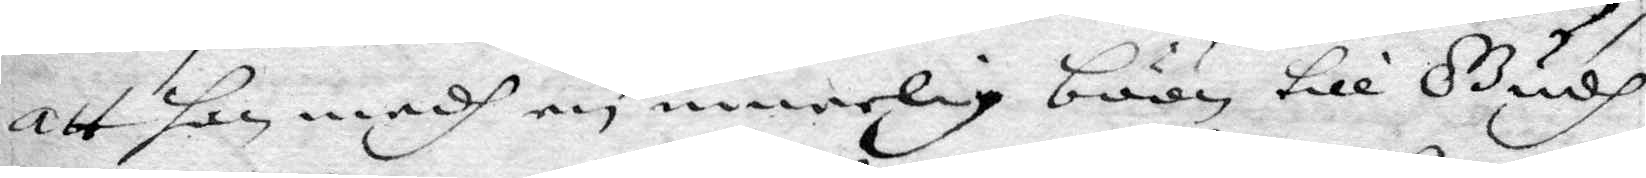att han medh en innerlig böön till Gudh
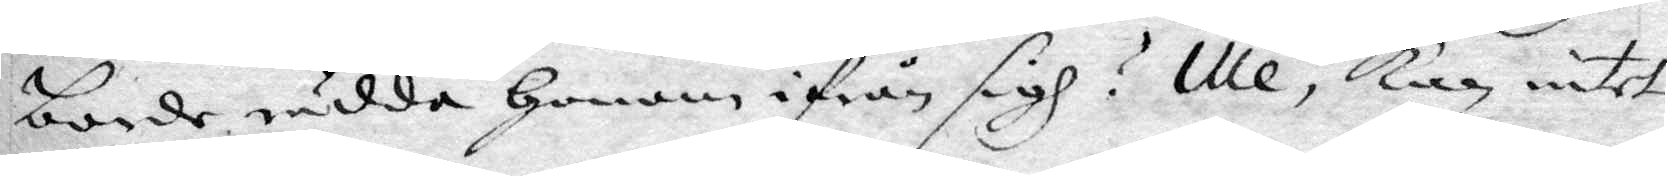borde rädda honom ifrån sigh? Ille. kan intet
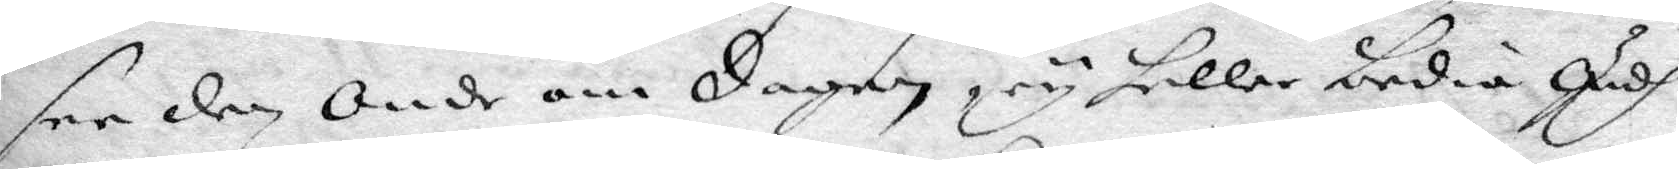see den Onde om Dagen, ey heller bedia Gudh
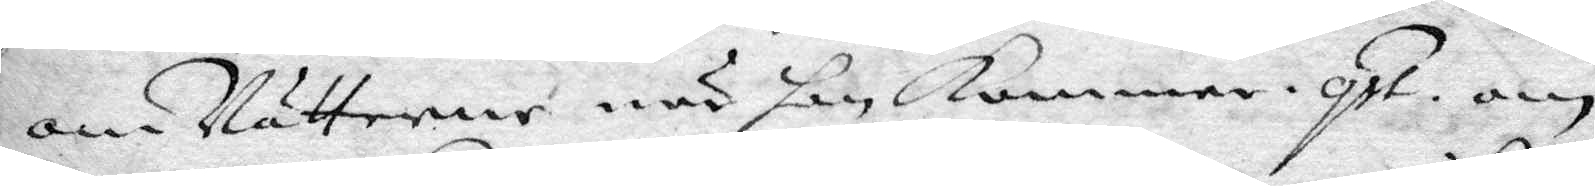om Nätterne när han Kommer. qst. om
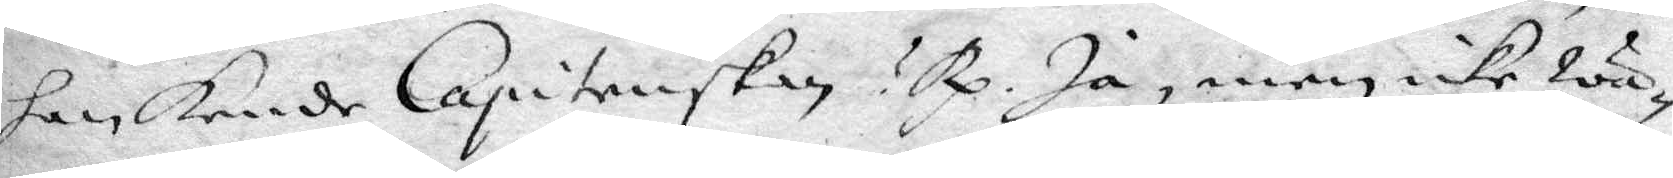han Kende Capitenskan? Rp. Ja, men icke wa¬
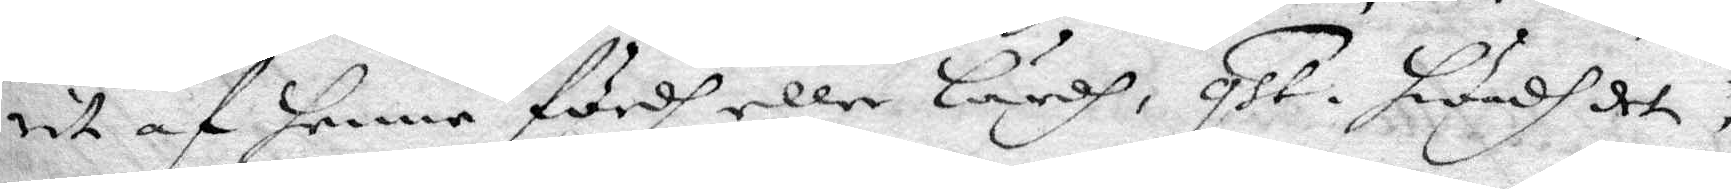rit af henne fördh eller lärdh, qst. hwadh det
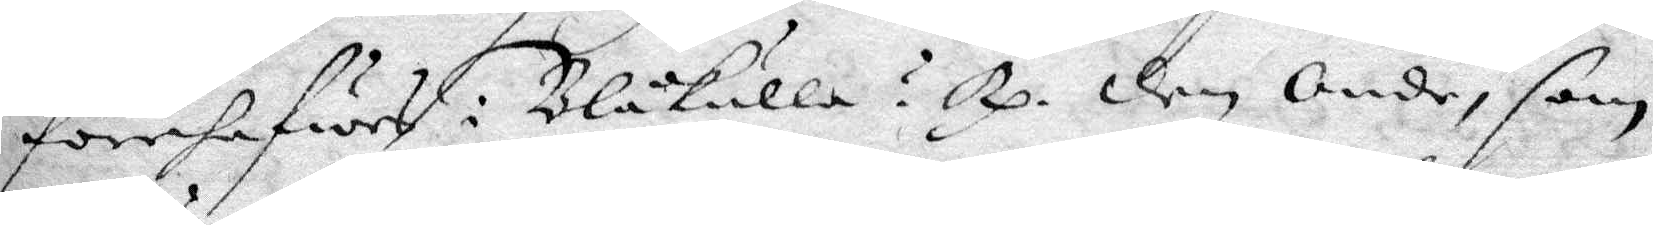förehafwes i Blåkulla? Rp. Den Onde, som
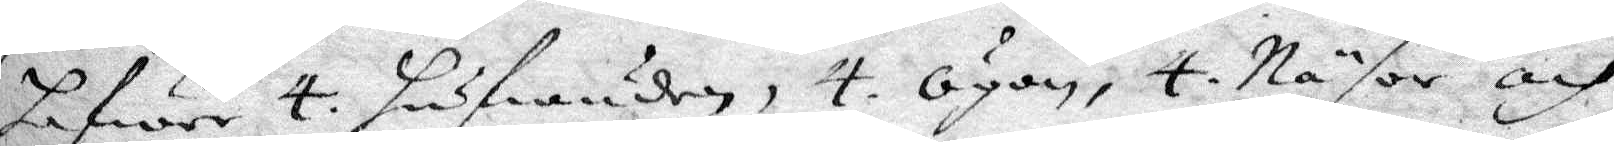hafwer 4. hufwuden, 4. Ögon, 4. Näsor och
